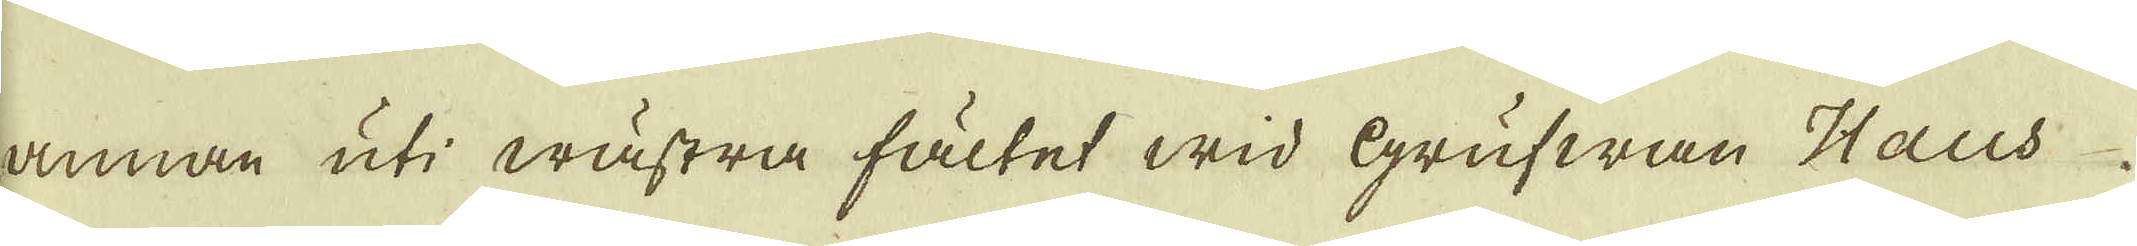annan uti wästra fältet wid Grufwan Haus
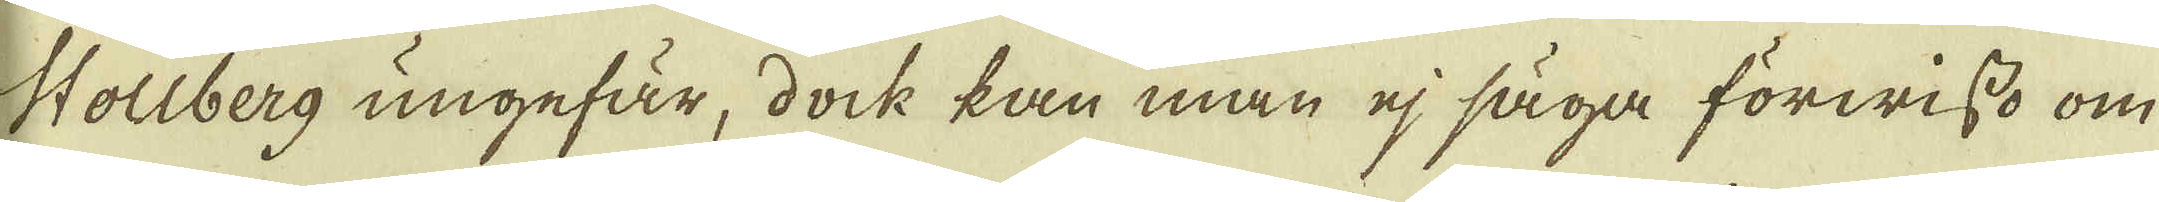Stollberg ungefär, dock kan man ej säga förwisso om
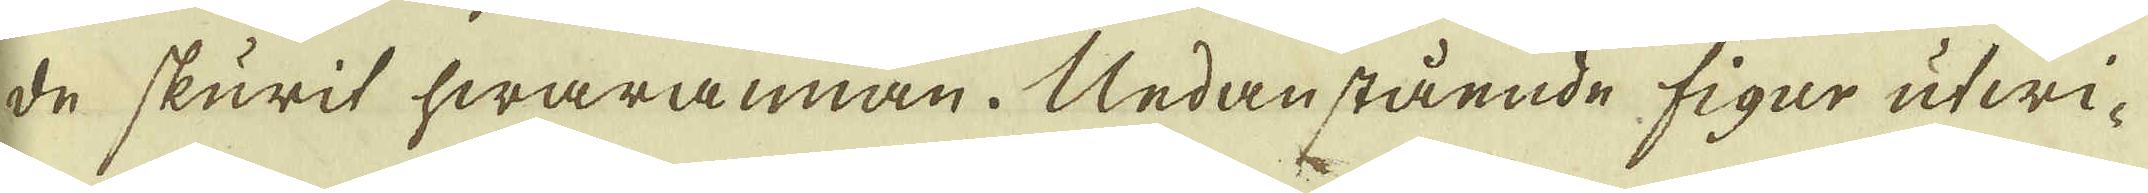de skurit hwarannan. Nedanstående figar utwi-
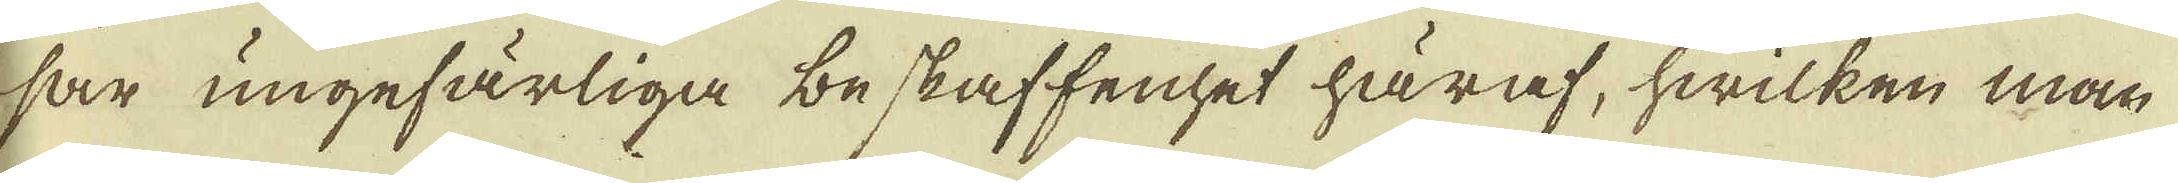sar ungefärliga beskaffenhet häraf, hwilken man
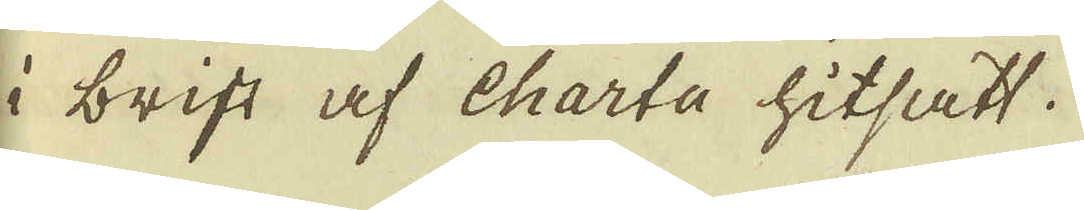i brist af charta hitsatt.
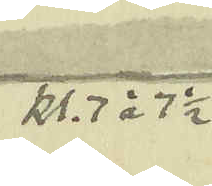kl. 7 à 7 1/2
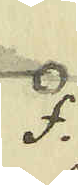f.
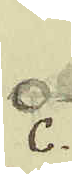c.
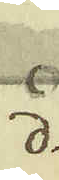d.
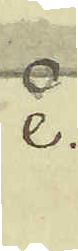e.
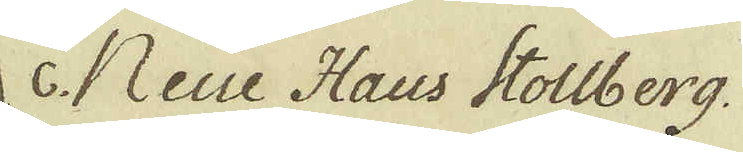c. Neue Haus Stollberg
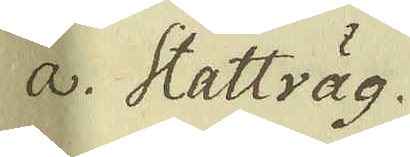a. Stattväg.
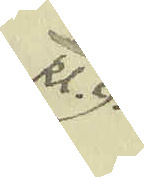kl. 9.
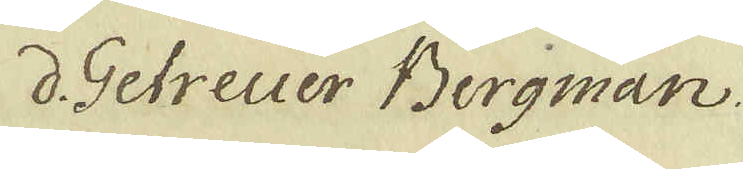d. Getreuer Bergman.
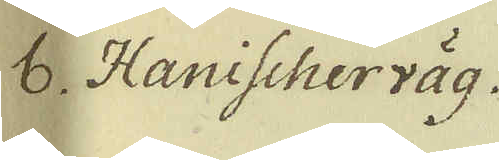b. Hanischerväg.
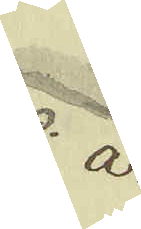a.
